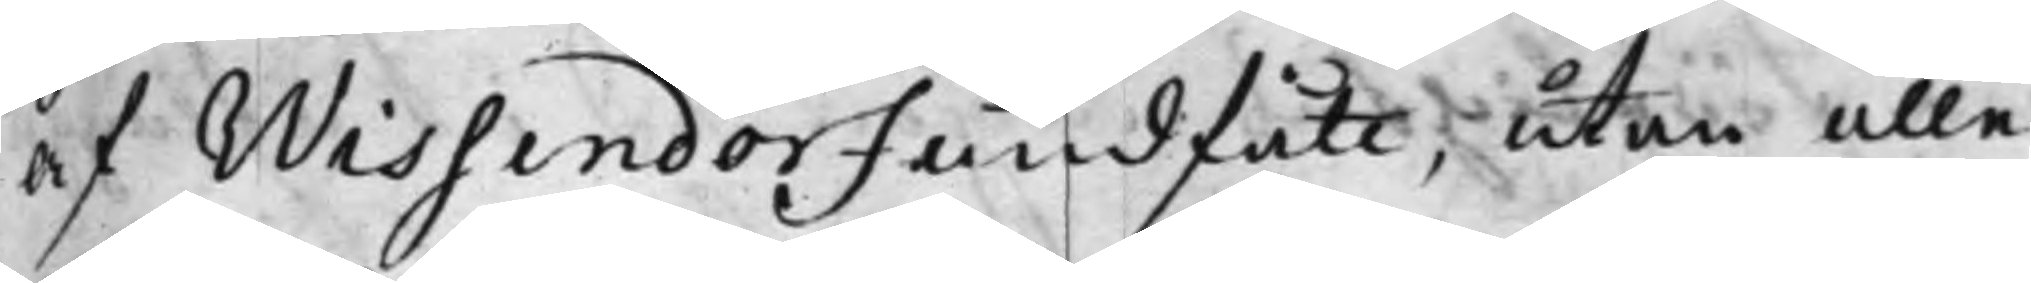af Wissendorf undfått, utan alle¬
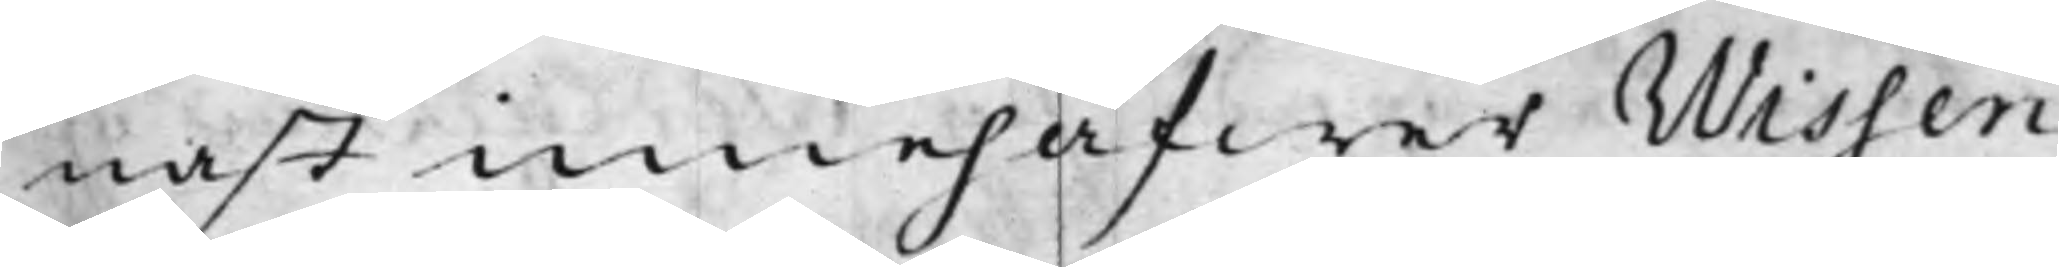nast innehafwer Wissen¬
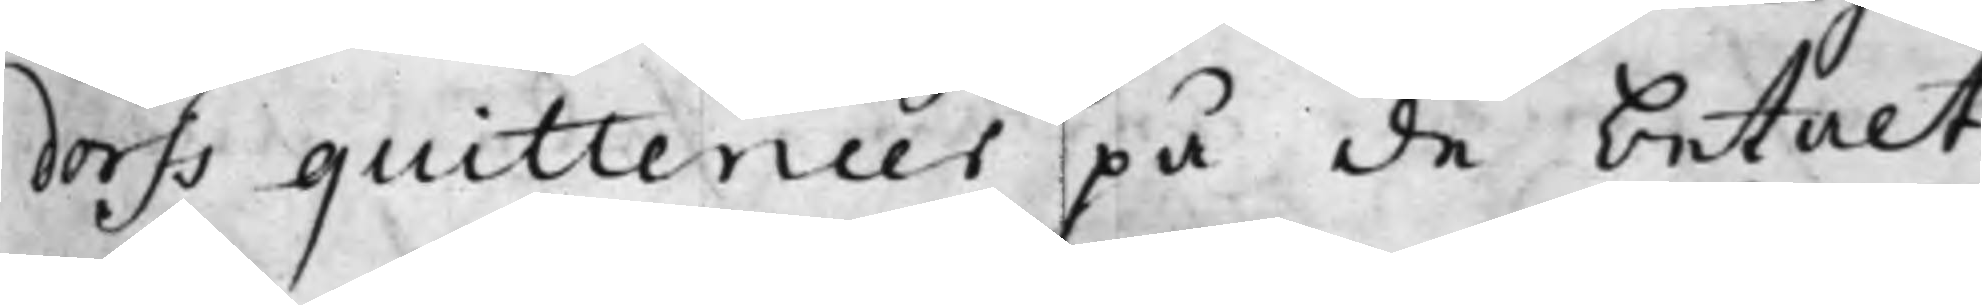dorfs quittencer på de betalte
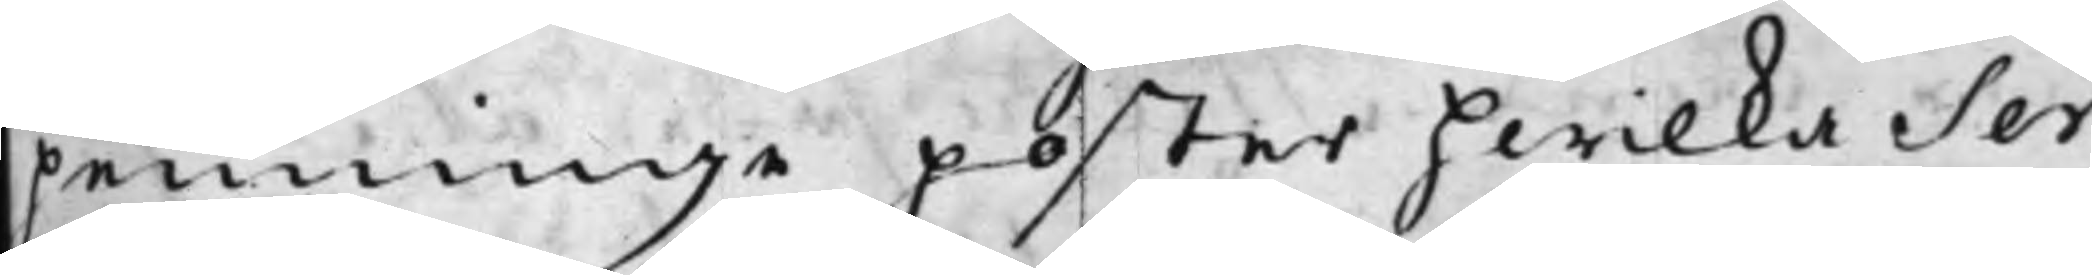penninge poster hwilka Ser¬
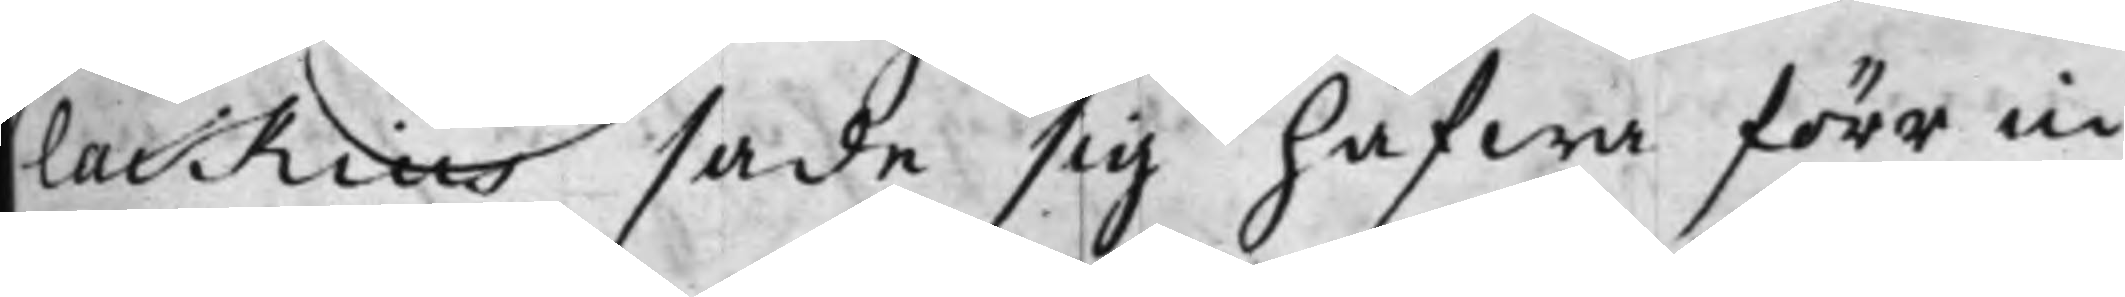lackius sade sig hafwa förr in¬
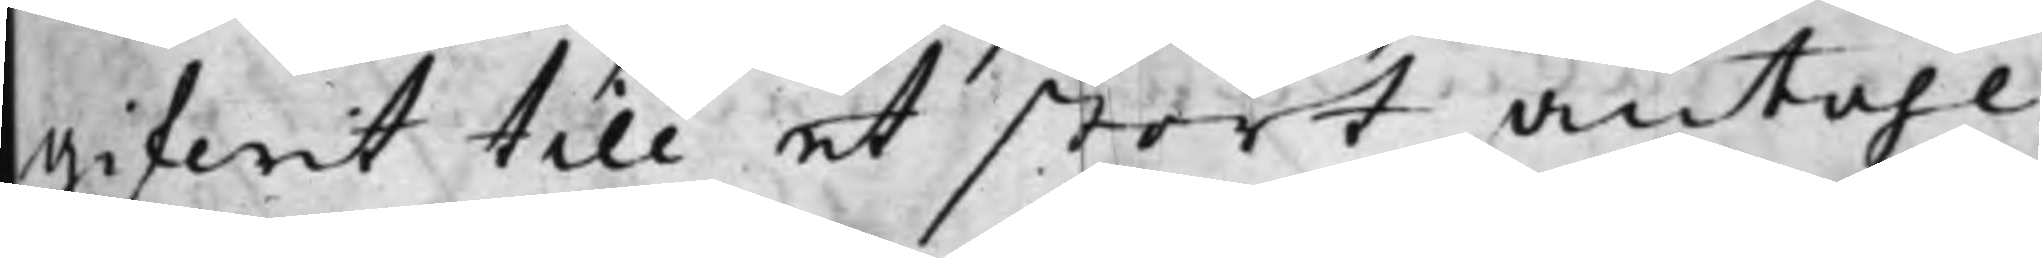gifwit till et stort Antahl.
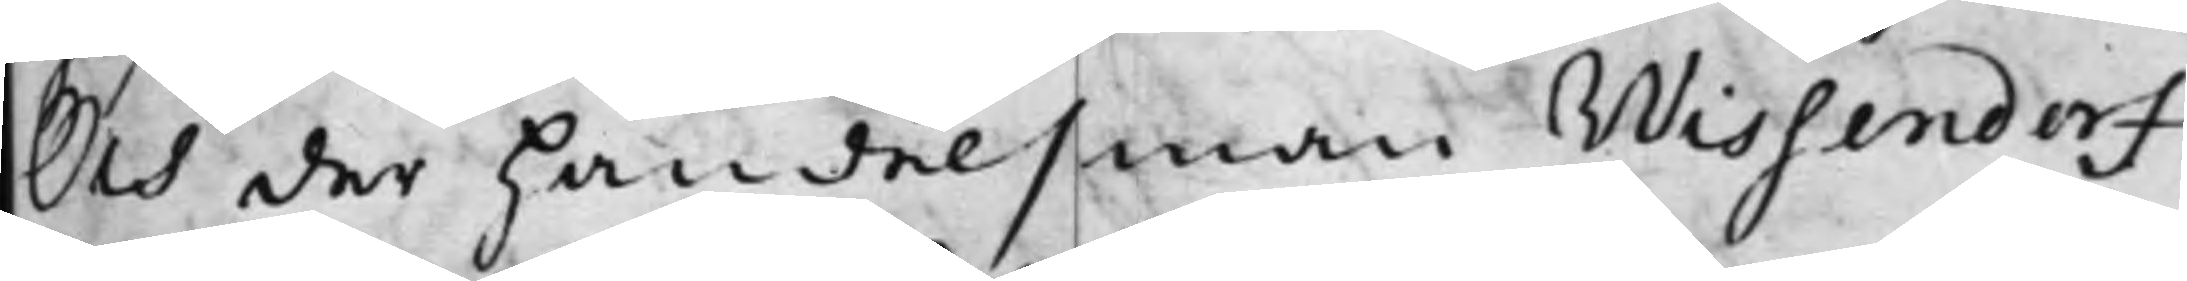Och der Handelsman Wissendorf
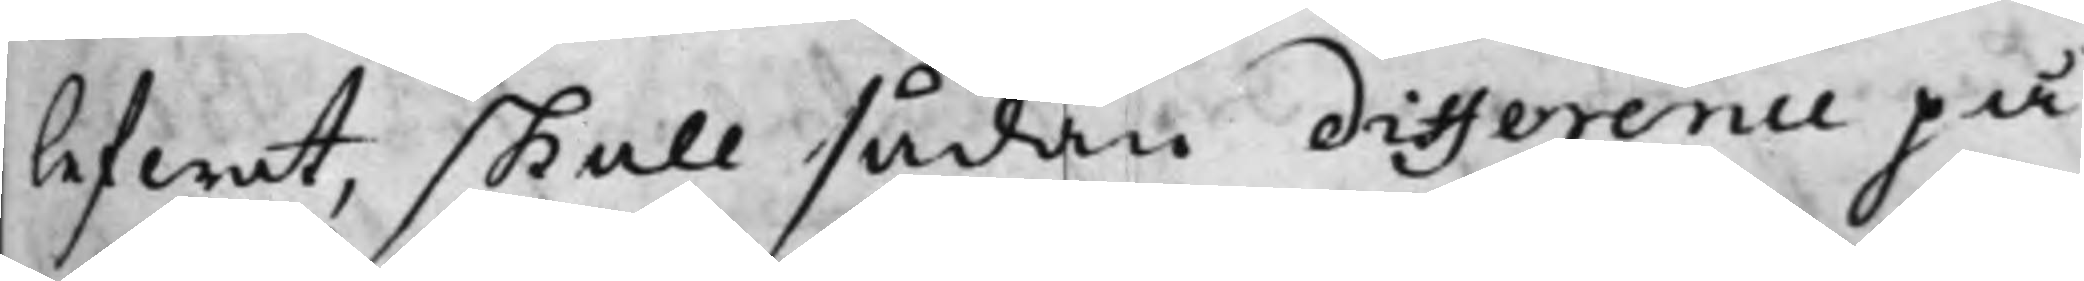lefwat, skall sådan difference på
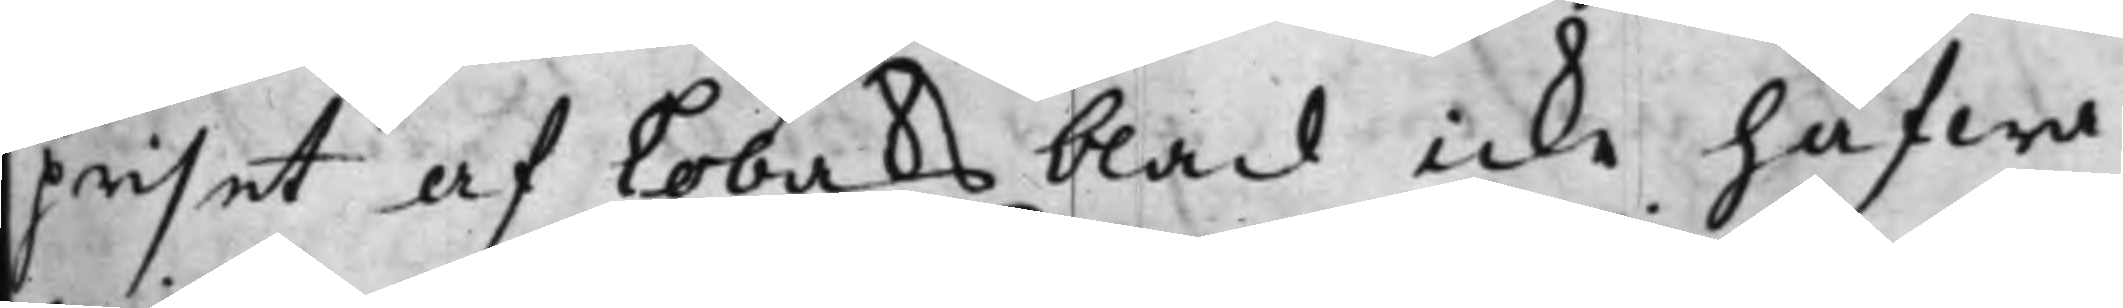priset af Tobaksblad icke hafwa
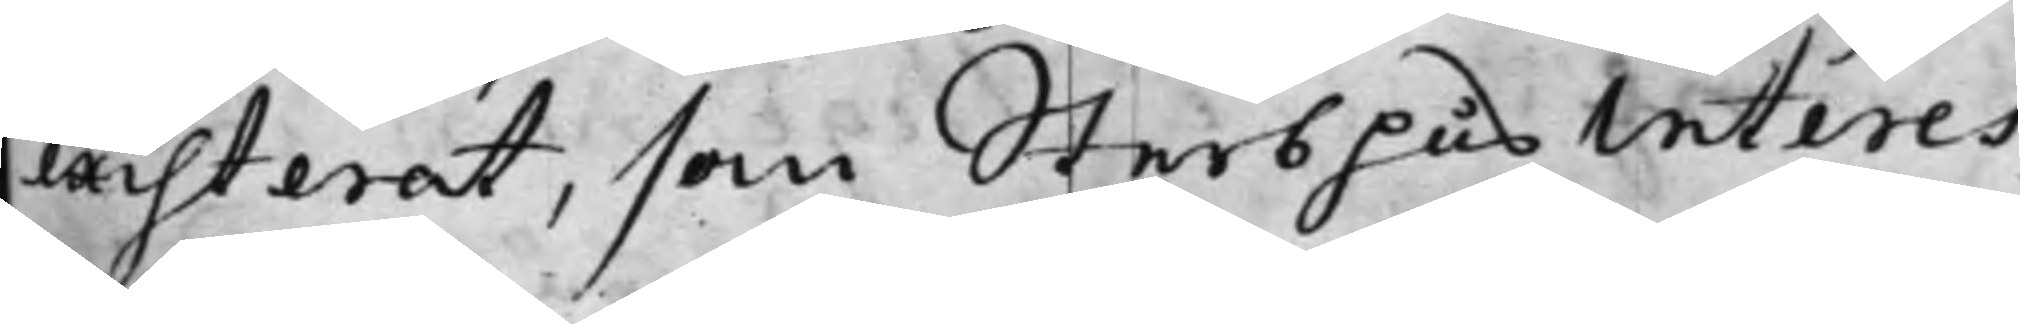existerat, som SterbhusInteres¬
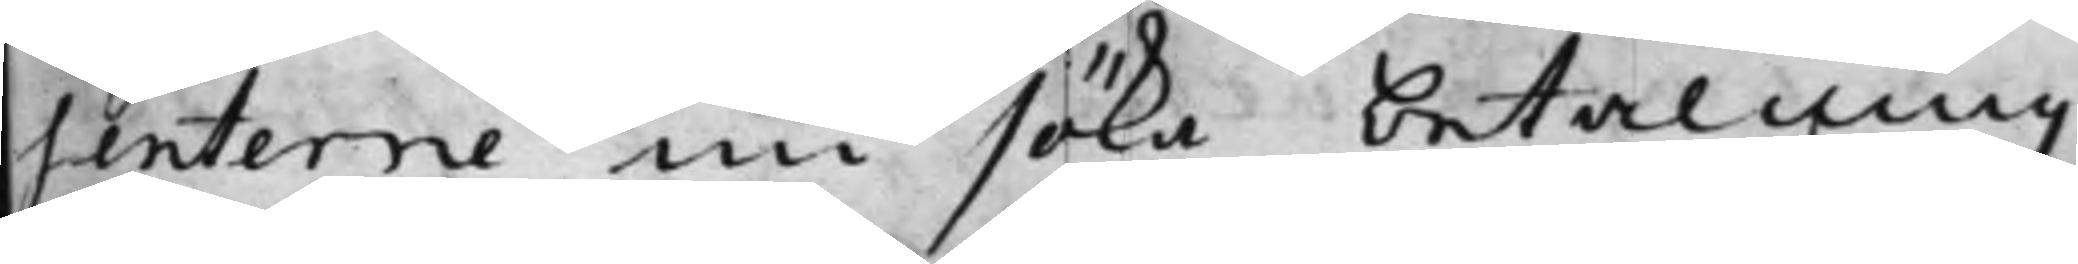senterne nu söka betalning
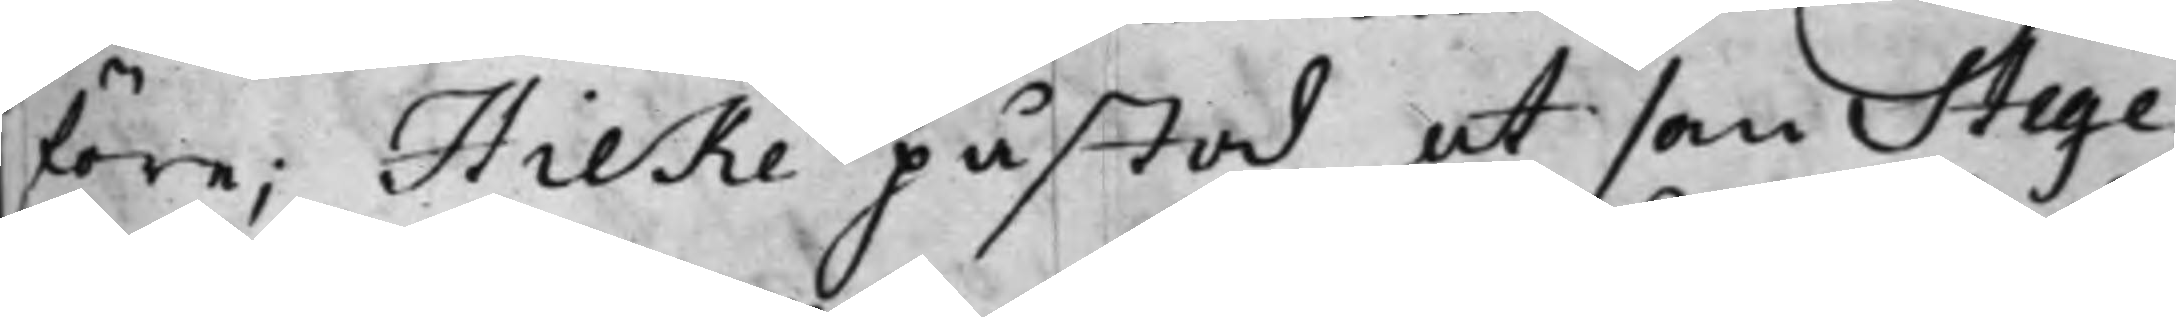före; Hilke påstod at som Stege¬
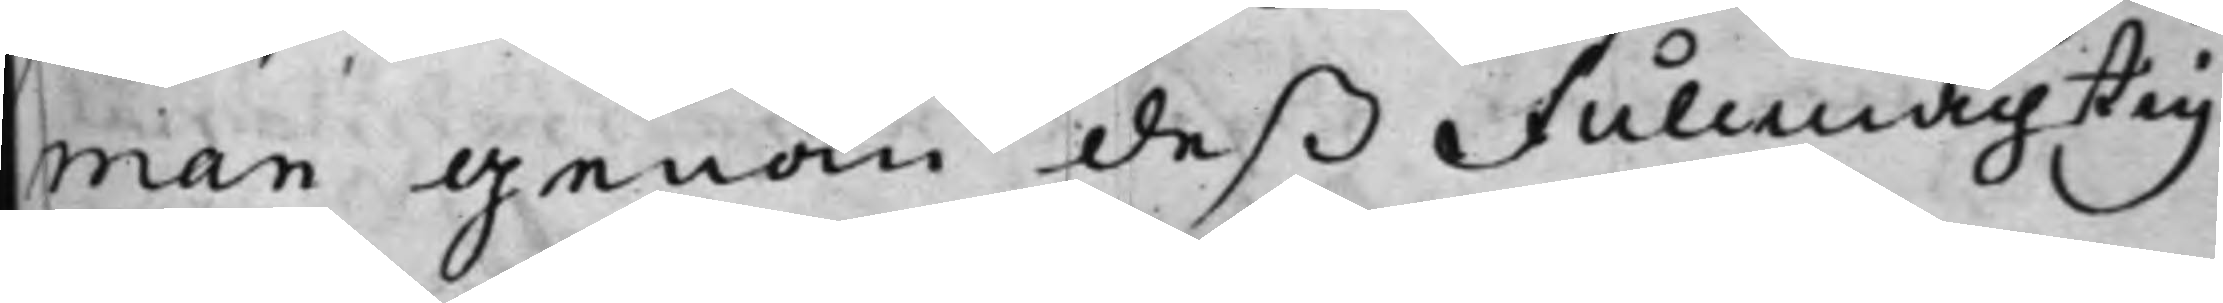man genom deß Fullmächtig
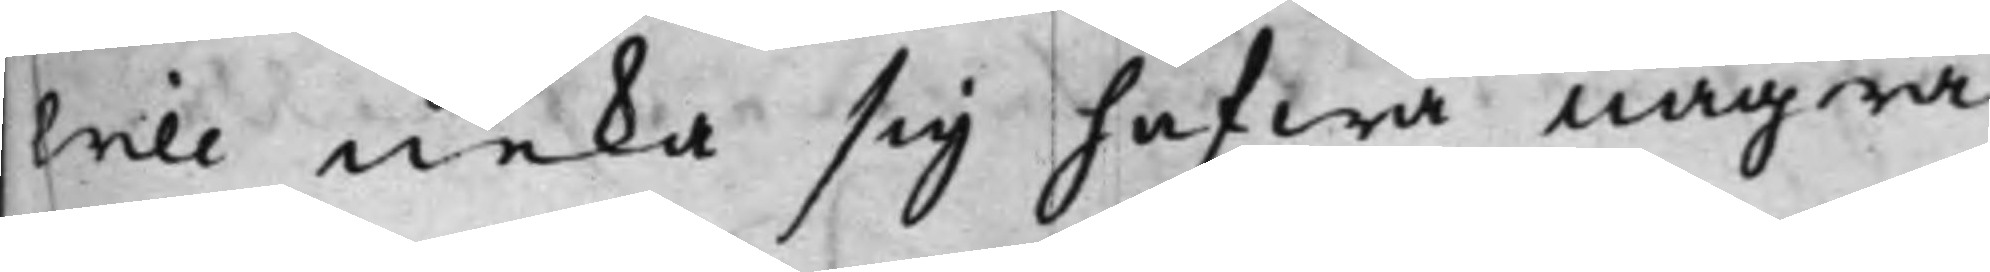Will neka sig hafwa några
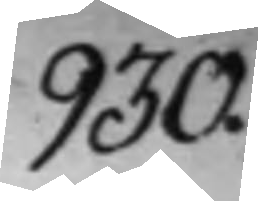930.
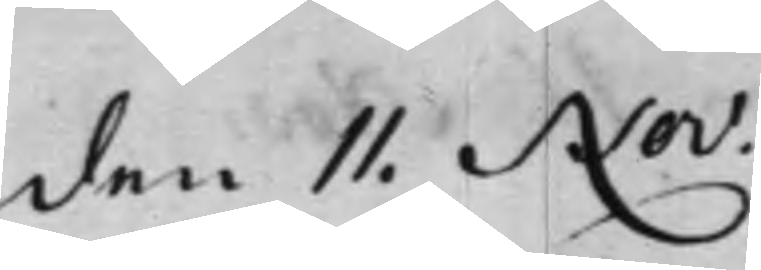den 11. Nov:
